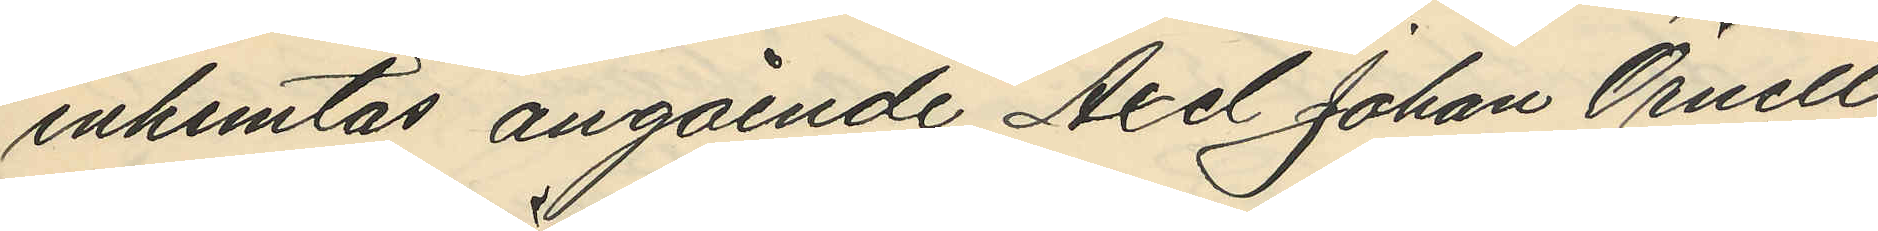inhemtas angående Axel Johan Örnell
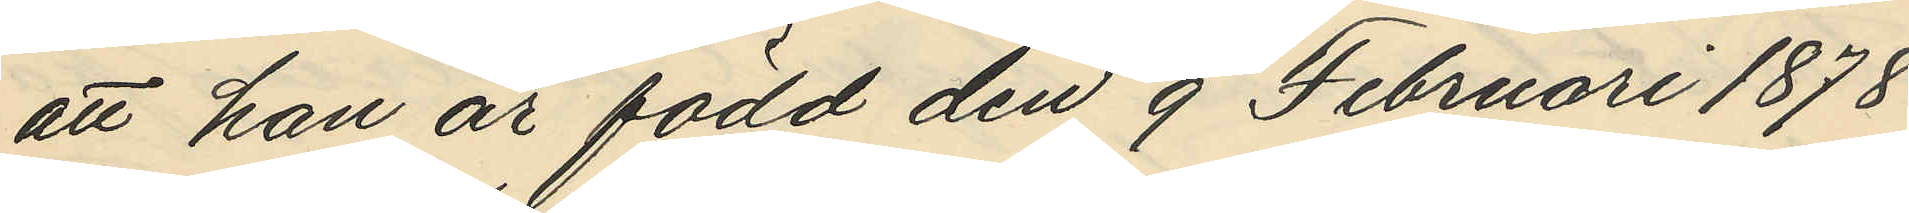att han är född den 9 Februari 1878
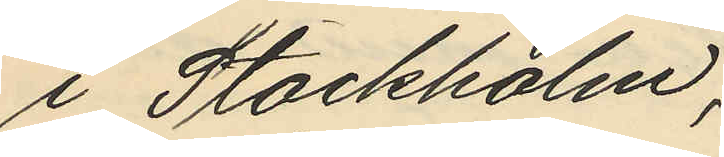i Stockholm;
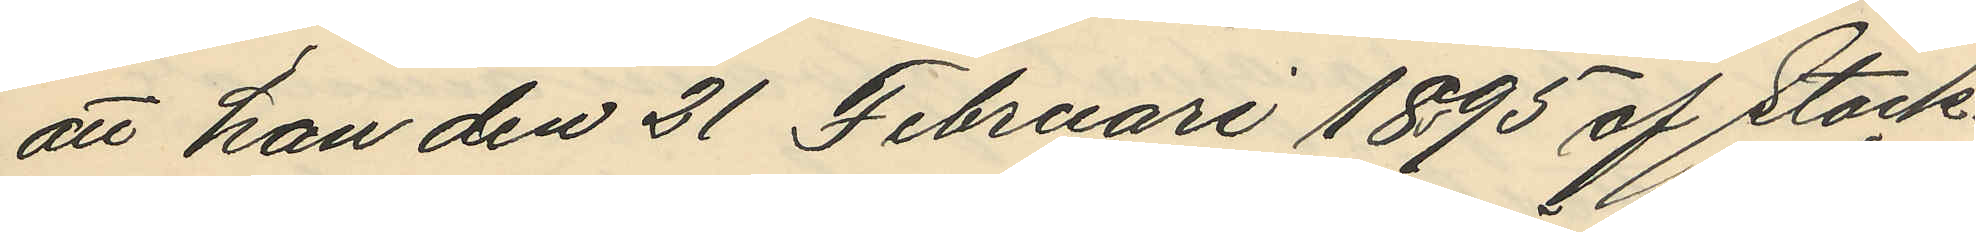att han den 21 Februari 1895 af Stock¬
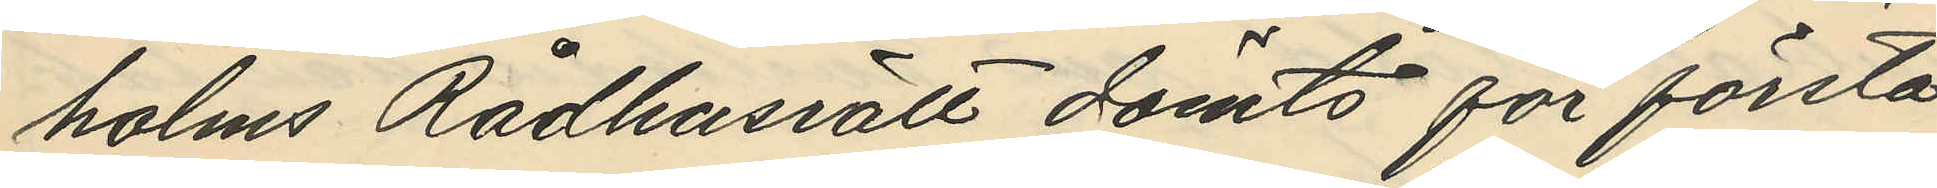holms Rådhusrätt dömts för första
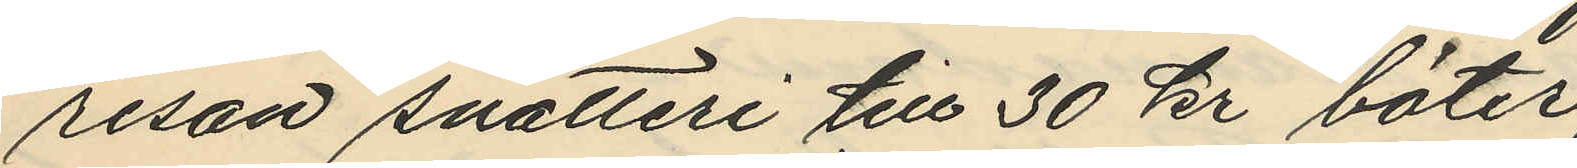resan snatteri till 30 kr böter,
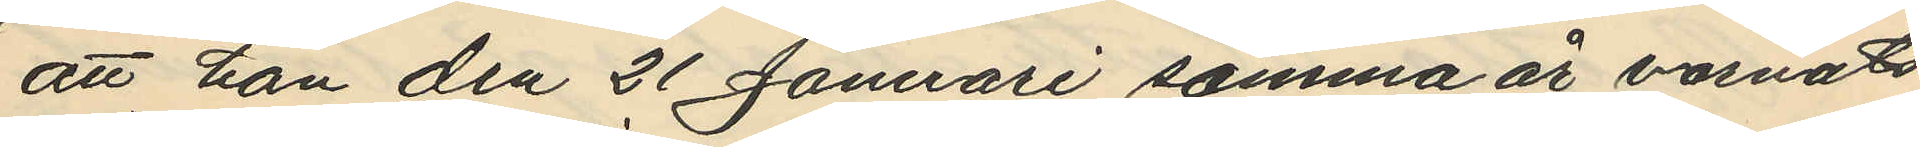att han den 21 Januari samma år varnats
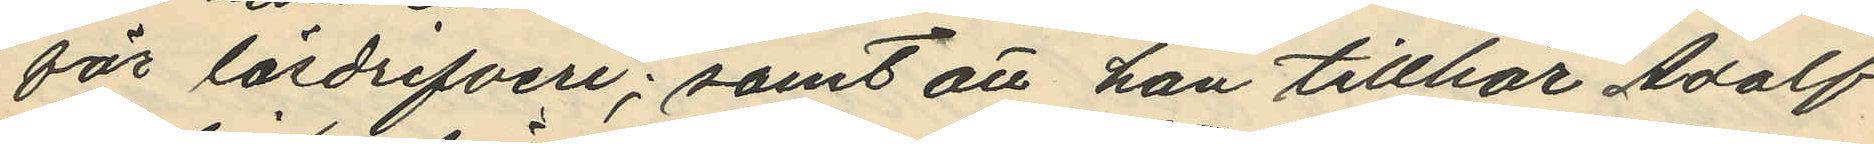för lösdrifveri; samt att han tillhör Adolf
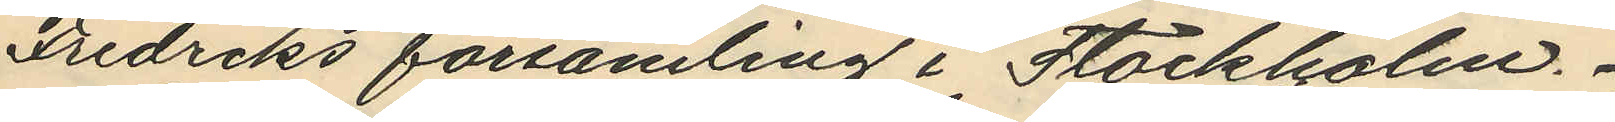Fredriks församling i Stockholm.
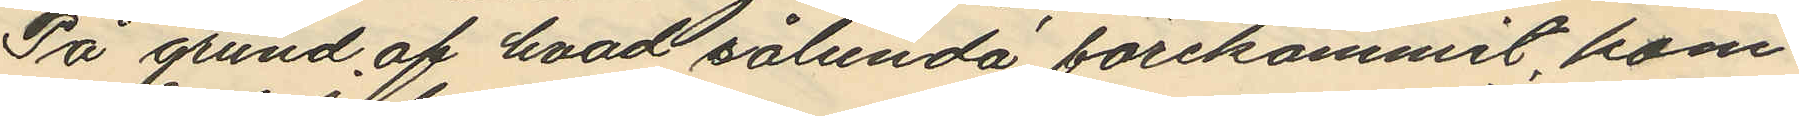På grund af hvad sålunda förekommit, kom¬
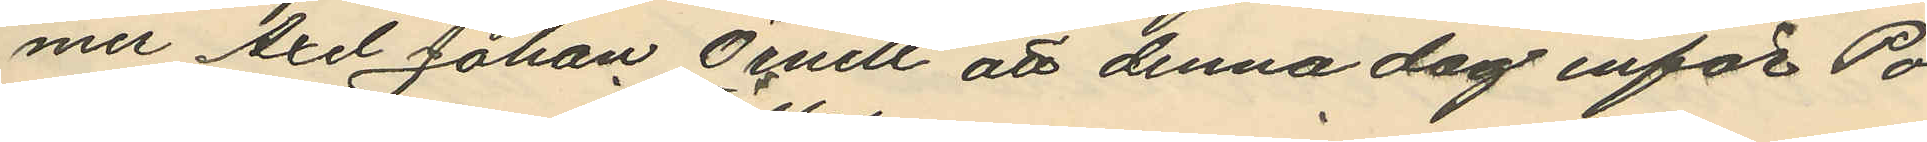mer Axel Johan Örnell att denna dag inför Po¬
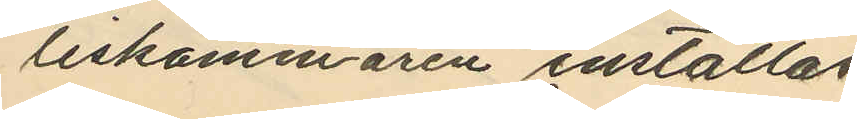liskammaren inställas.
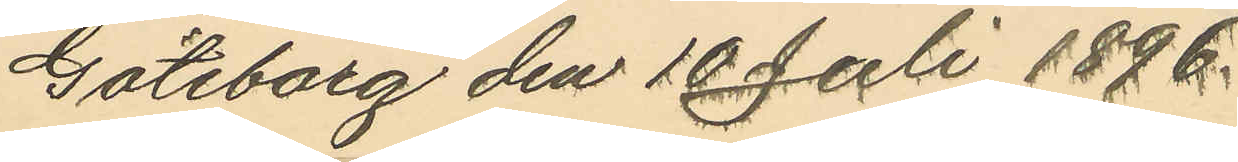Göteborg den 10 Juli 1896.
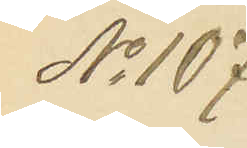No 107.
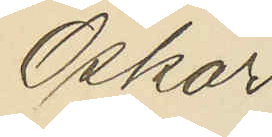Oskar
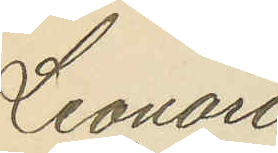Leonard
